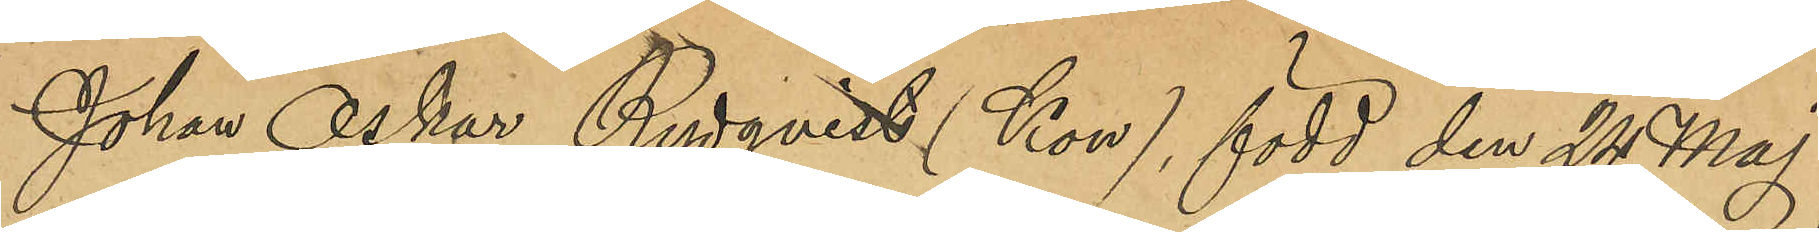Johan Oskar Rydqvist (Kon), född den 24 Maj
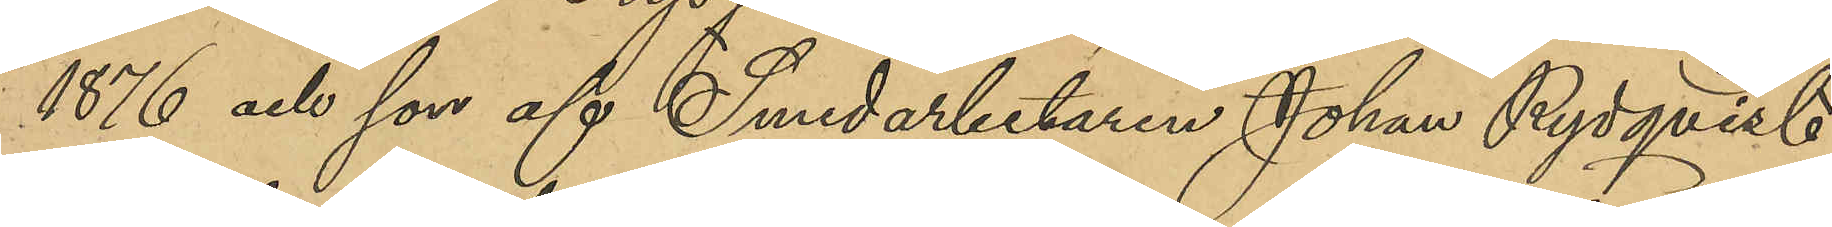1876 och son af Smedsarbetaren Johan Rydqvist,
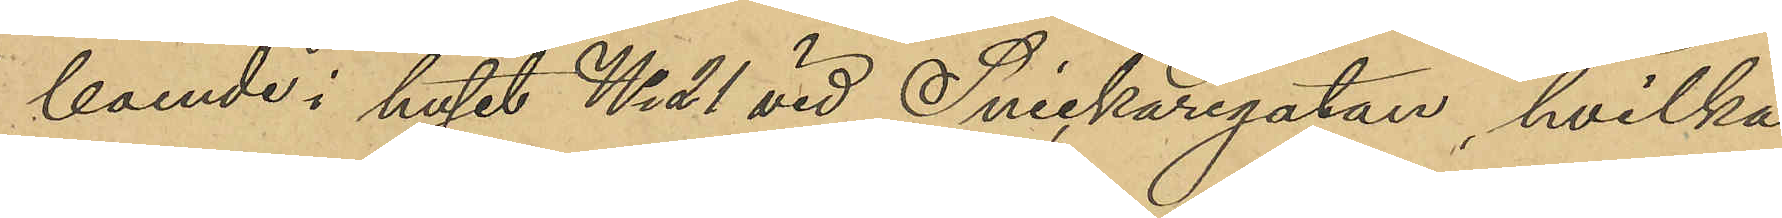boende i huset No 21 vid Snickaregatan, hvilka
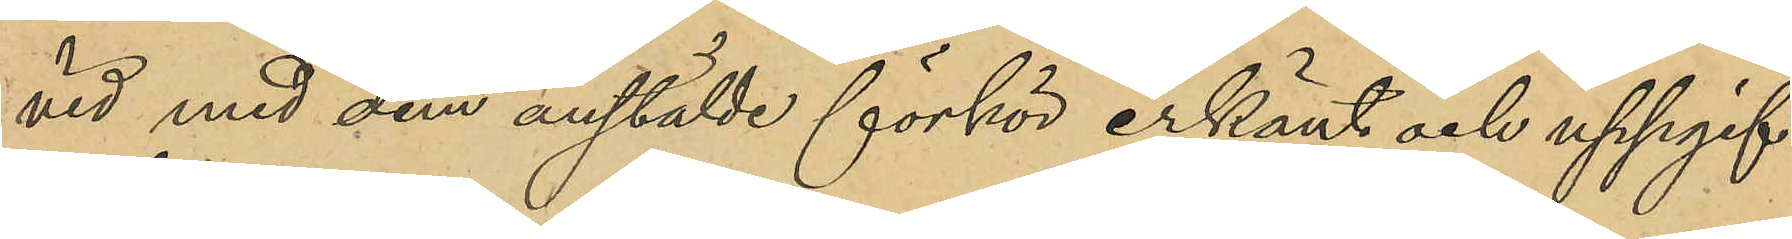vid med dem anstälde förhör erkänt och uppgif-
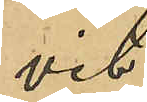vit:
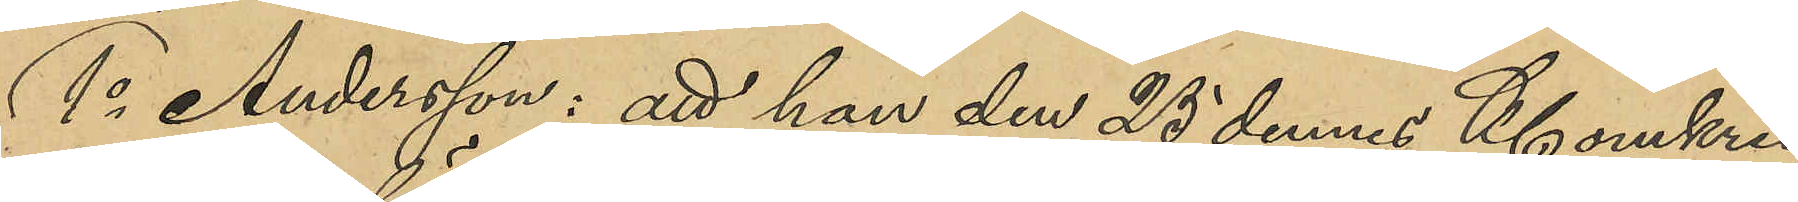1o Andersson: att han den 25 dennes Kl omkring
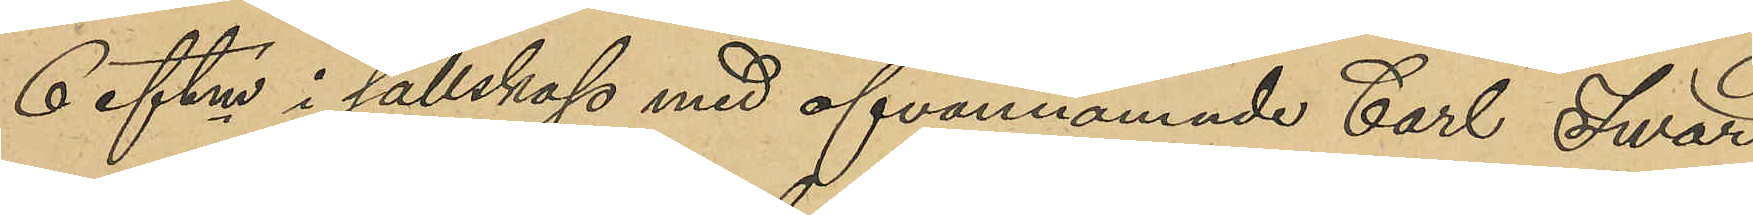6 eftm i sällskap med ofvannämnde Carl Iwar
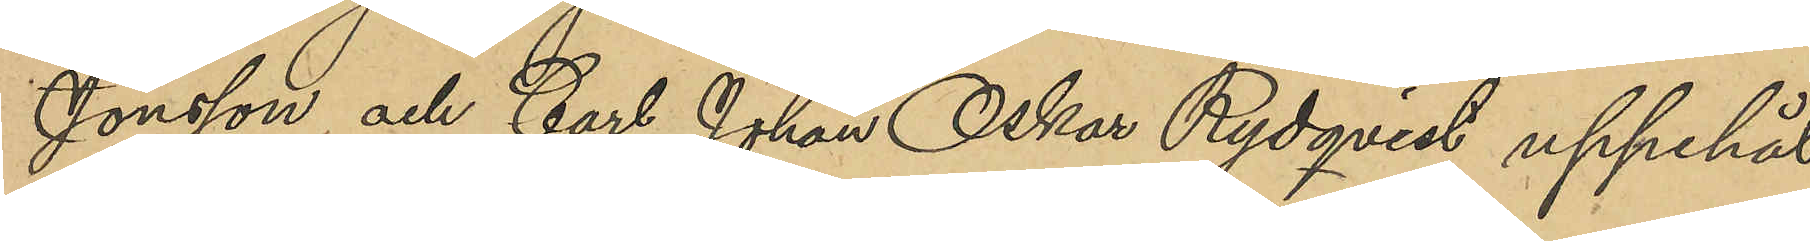Jönsson och Carl Johan Oskar Rydqvist uppehål¬
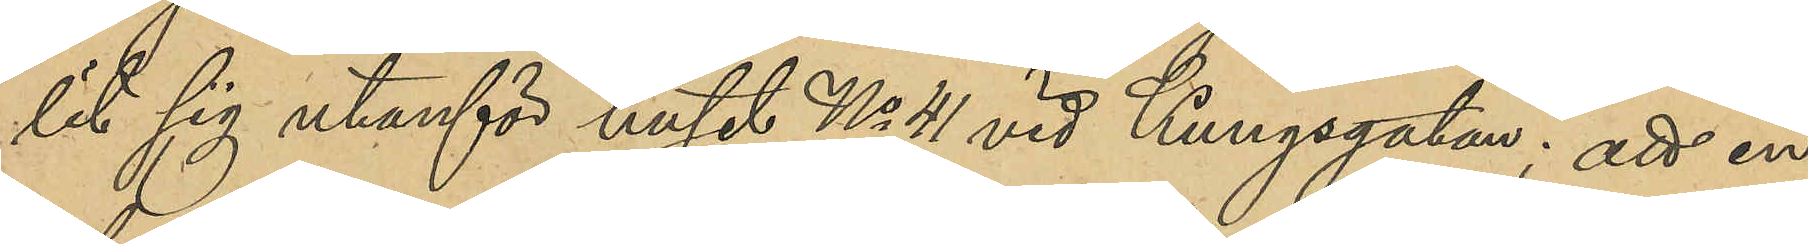lit sig utanför huset No 41 vid Kungsgatan; att en
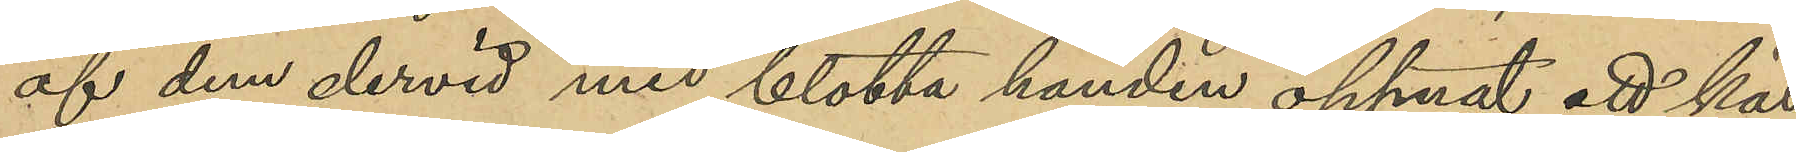af dem dervid med blotta handen öppnat ett käl¬
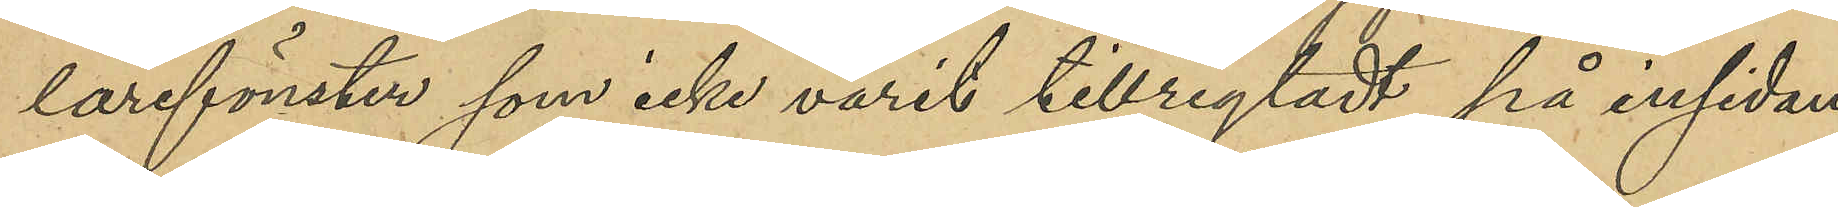larefönster som icke varit tillregladt på insidan;
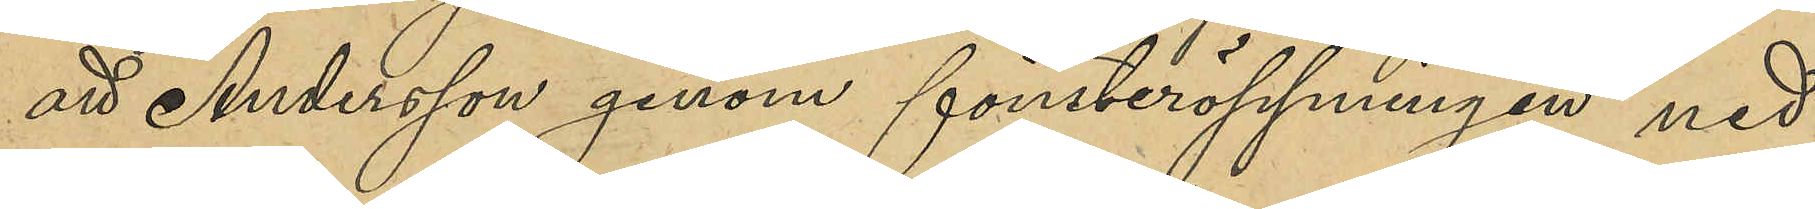att Andersson genom fönsteröppningen ned¬
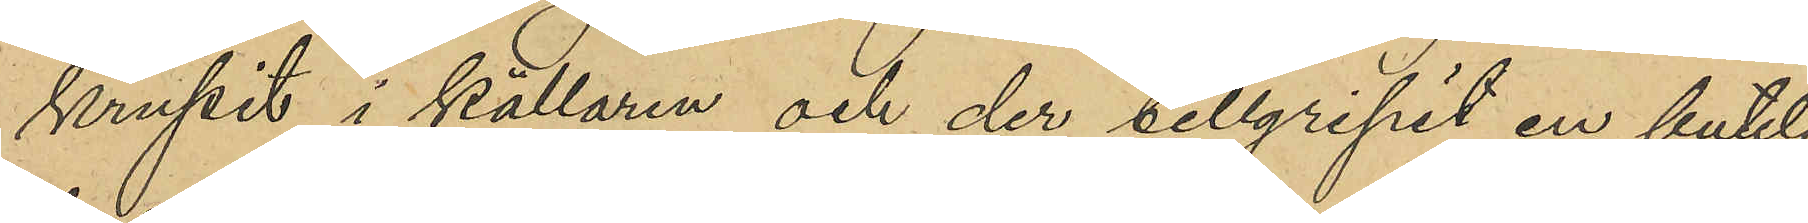krupit i källaren och der tillgripit en butelj
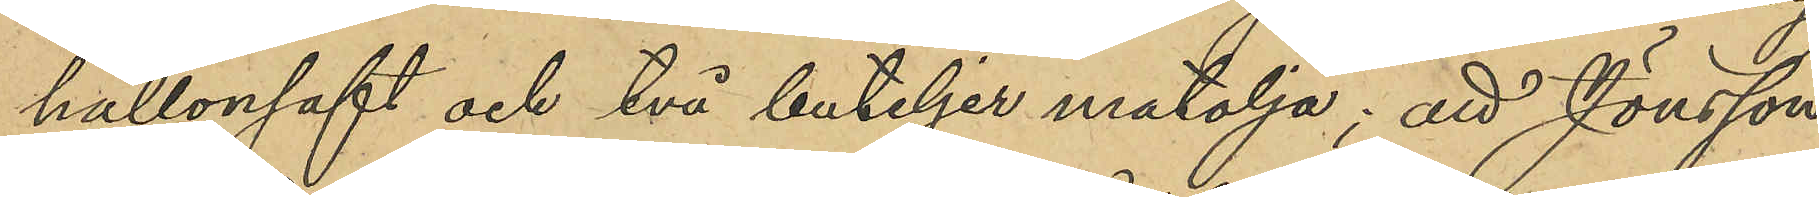hallonsaft och två buteljer matolja; att Jönsson
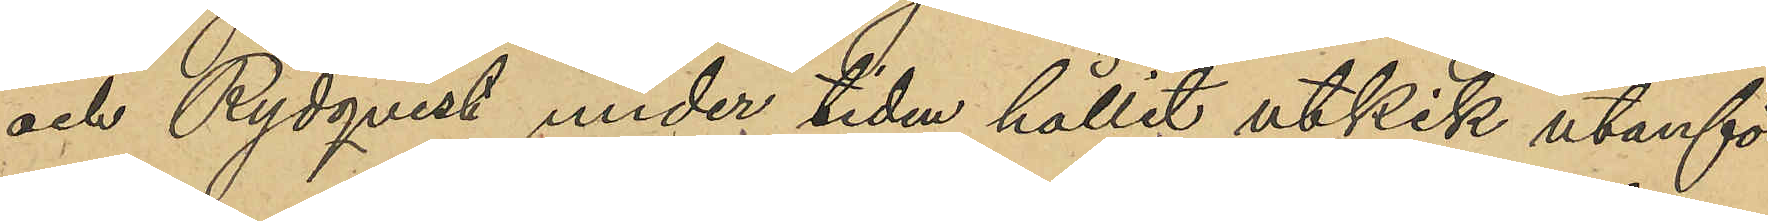och Rydqvist under tiden hållit utkik utanför
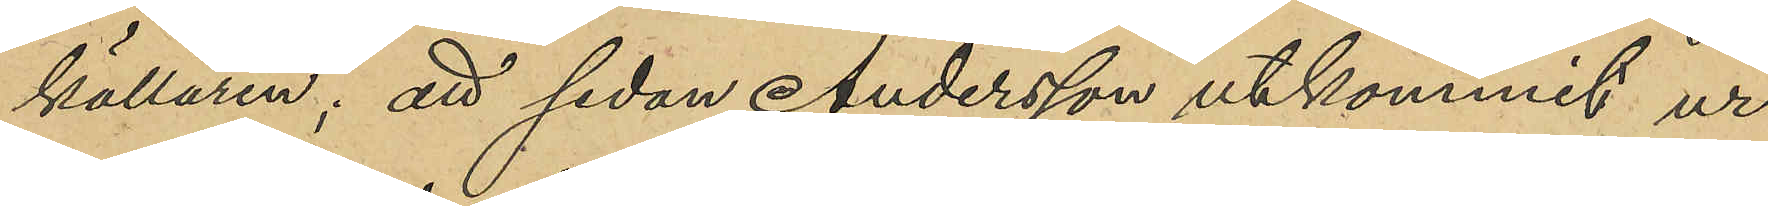källaren, att sedan Andersson utkommit ur
